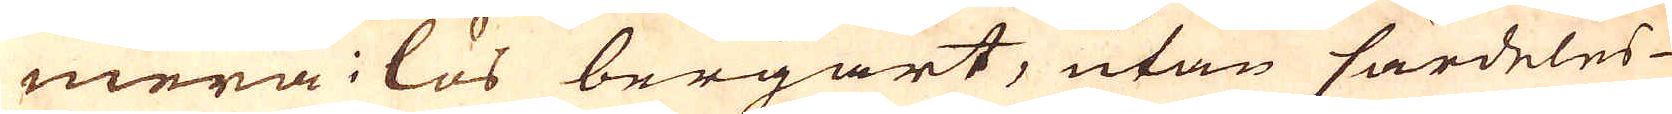mera i lös bergart, utan särdeles
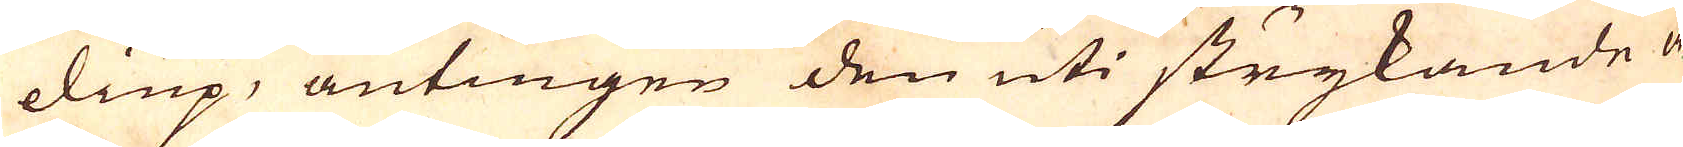diup, antingen den uti strykande å-
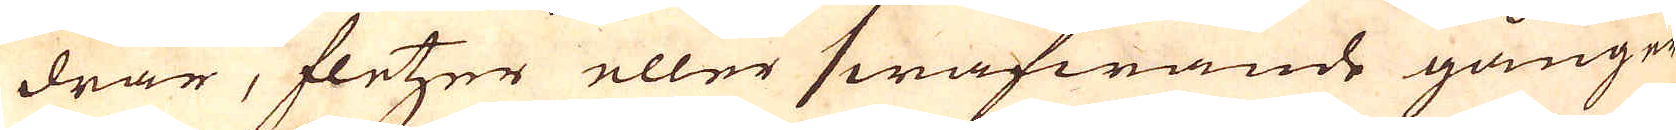drar, fletzer eller swafwande gånger
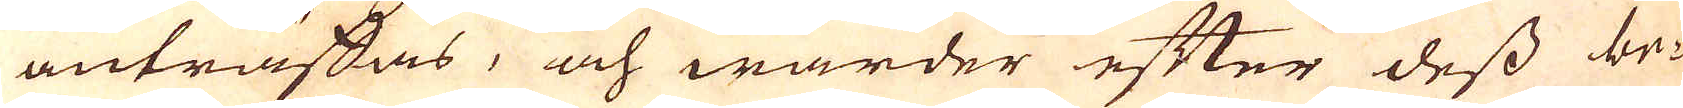anträffas, och warder efter dess be-
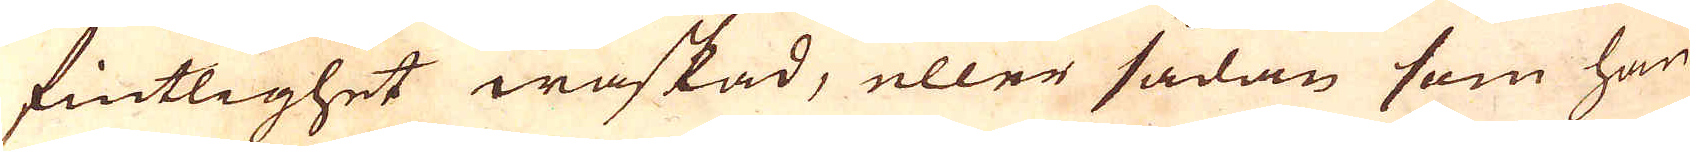fintlighet waskad, eller sådan som han
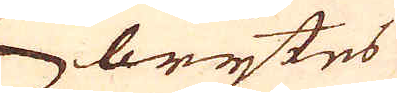brytes
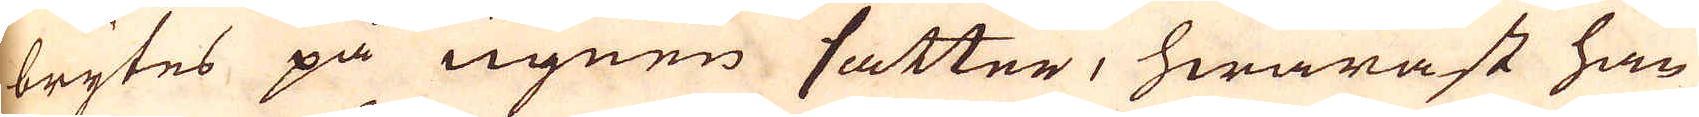brytes på ugnen satter, hwarast han
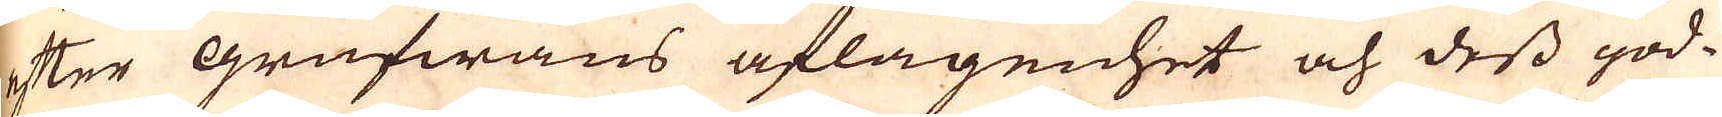efter grufwans aflägenhet och dess god-
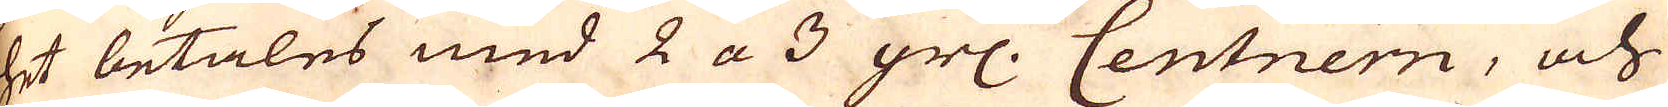het betales med 2 a 3 grs. Centnern, och
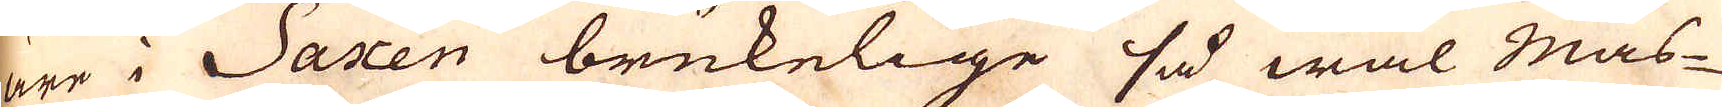äre i Saxen brukelige så wäl Mas-
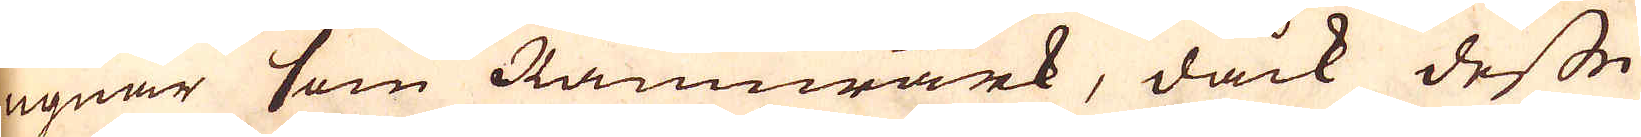ugnar som Järnwärk, dåck desse
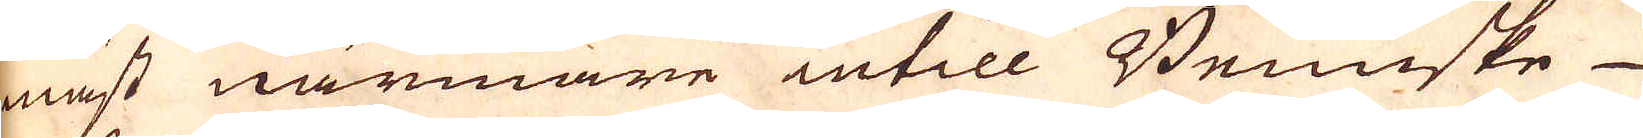mäst närmare intill Brumske
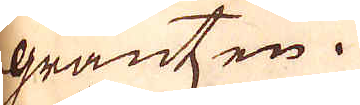gräntzen.
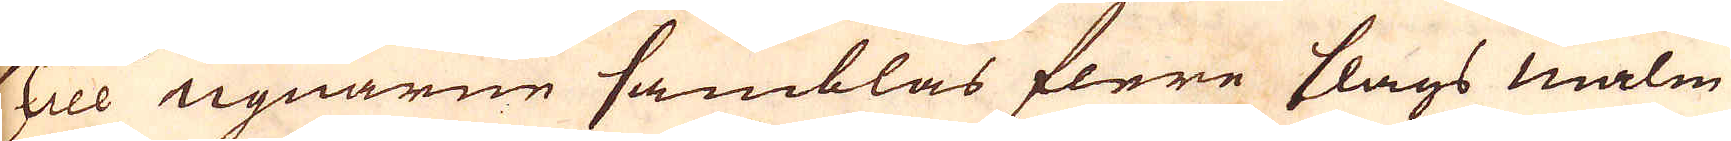Till ugnarne samblas flere slags malm
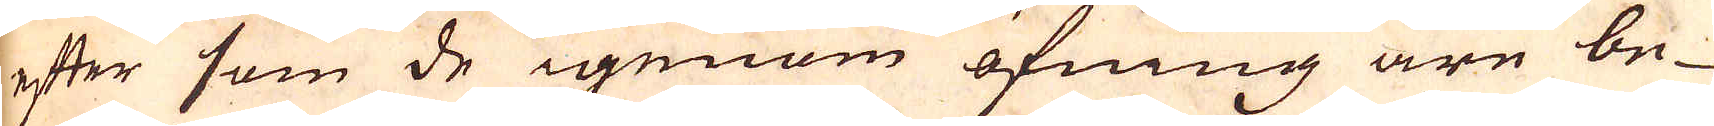efter som de igenom öfning äre be-
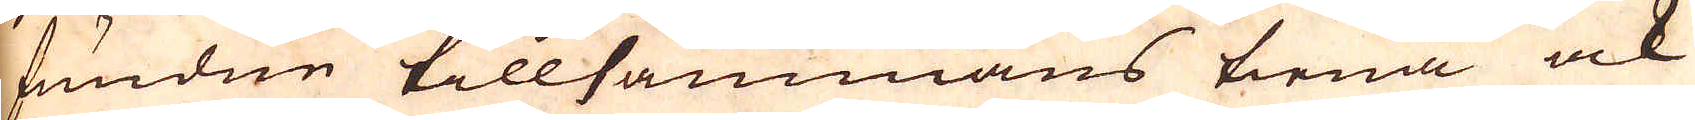fundne tillsammans tiena ock
